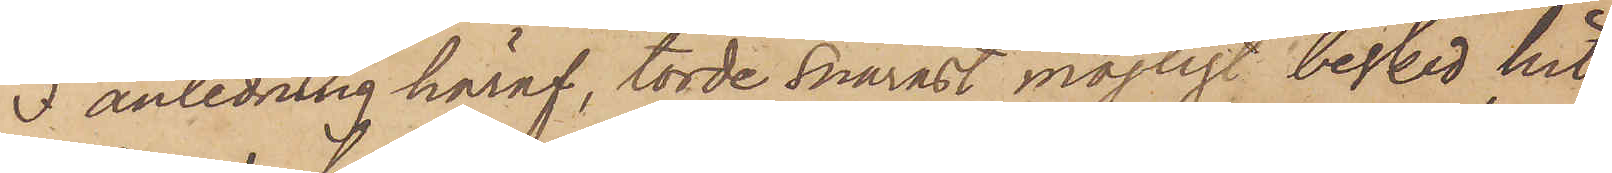I anledning häraf, torde snarast möjligt besked hit
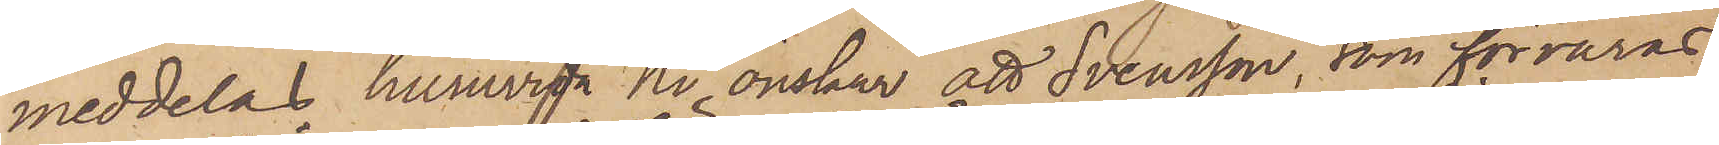meddelas huruvida Ni önskar att Svensson, som förvaras
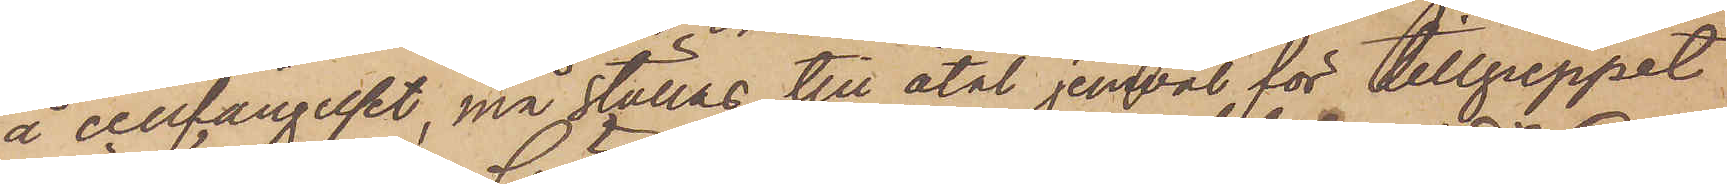å cellfängelset, må ställas till åtal jemväl för tillgreppet
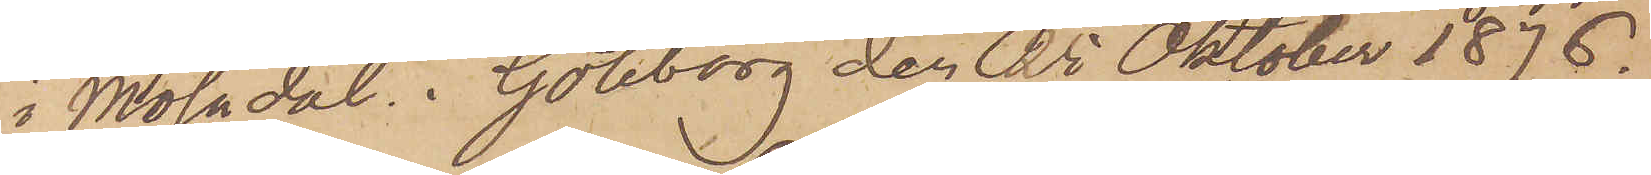i Mölndal. Göteborg den 25 Oktober 1876.
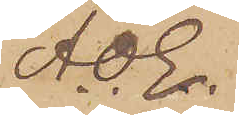A. O. E.
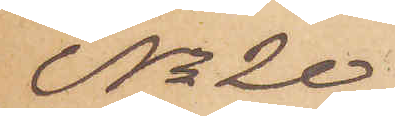No 20
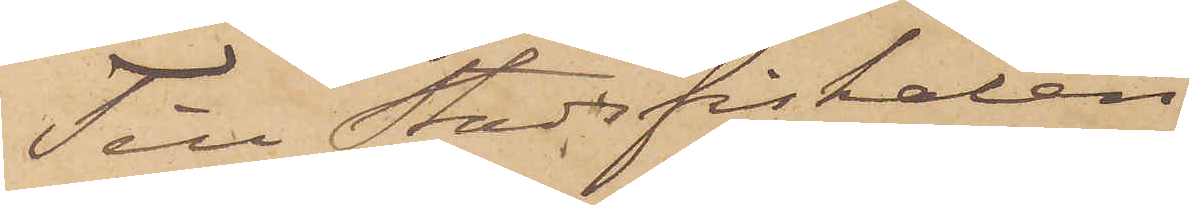Till Stadsfiskalen
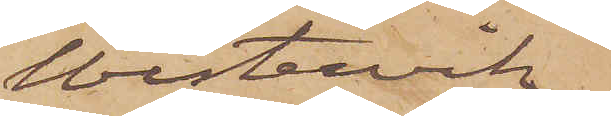Westervik.
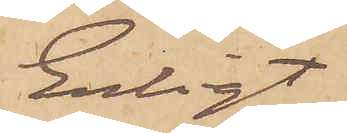Enligt
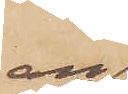an¬
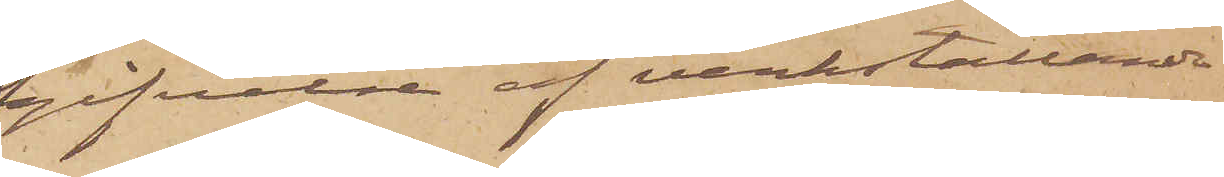gifvelse af verkställande
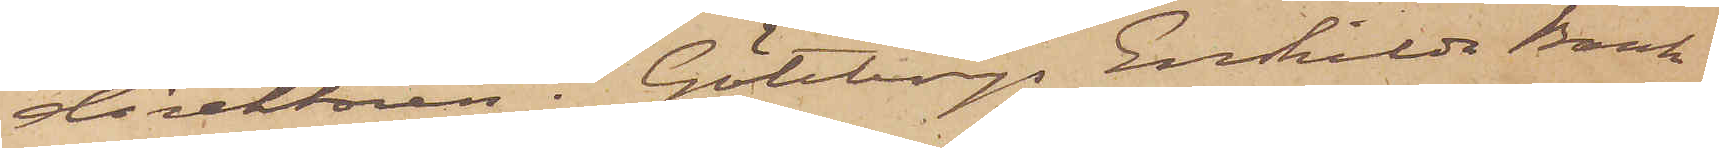direktören i Göteborgs Enskilda Bank
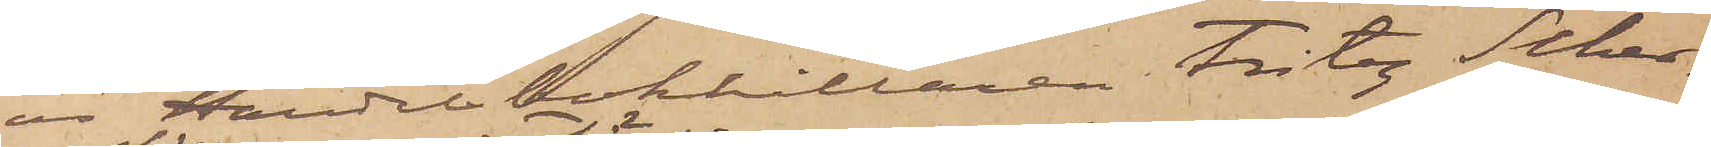är Handelsbokhållaren Fritz Scher¬
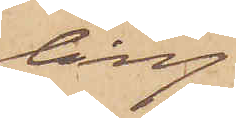ling
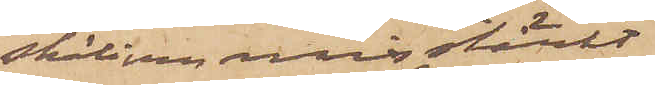skäligen misstänkt
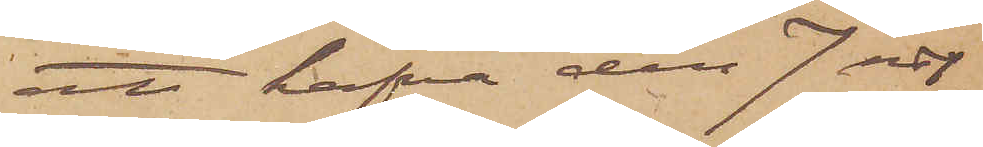att hafva den 7 sist.
